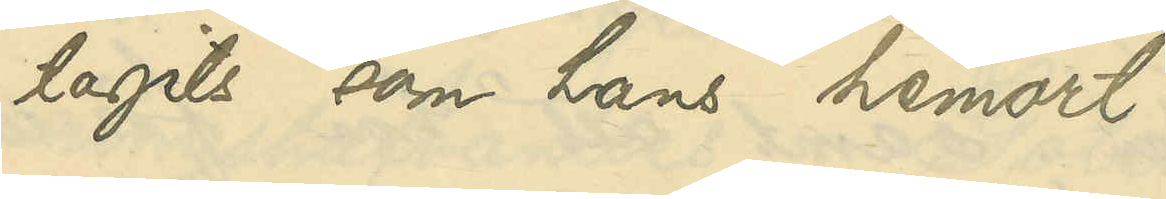tagits som hans hemort.
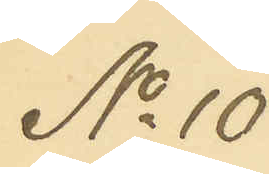No 10
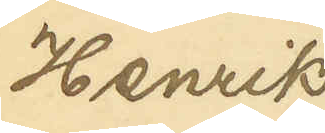Henrik
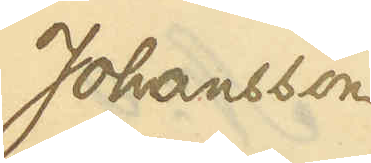Johansson
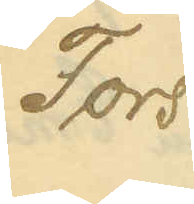Fors
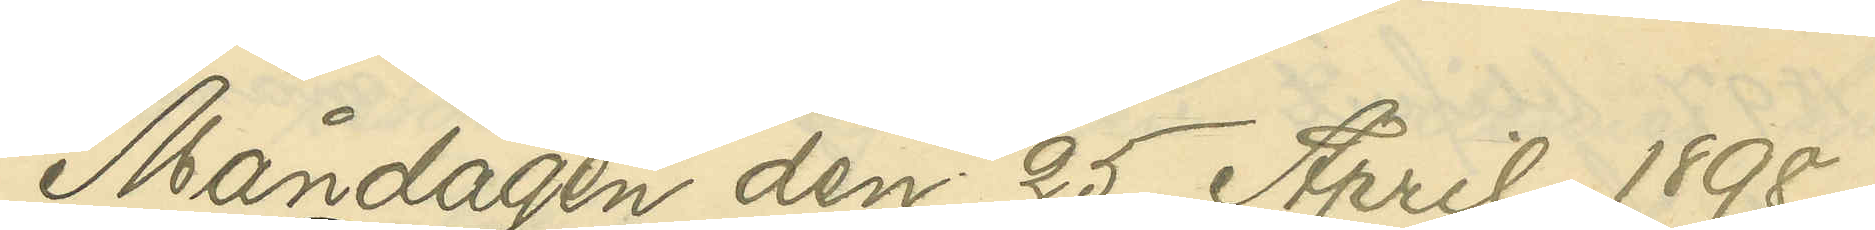Måndagen den 25 April 1898.
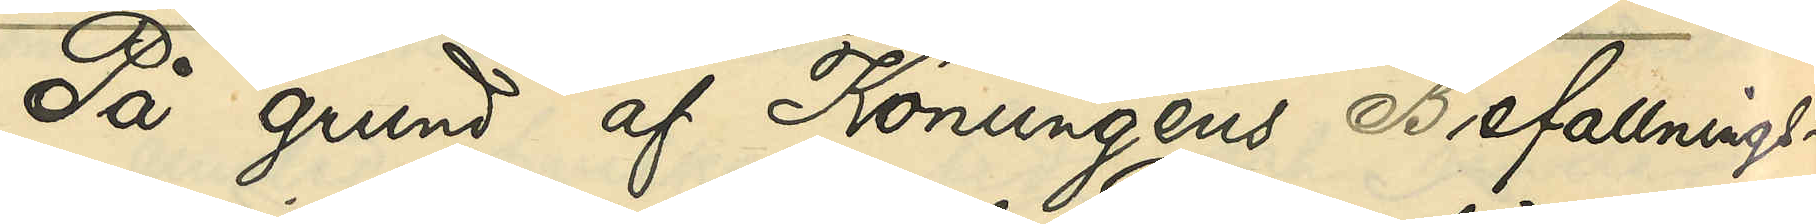På grund af Konungens Befallnings¬
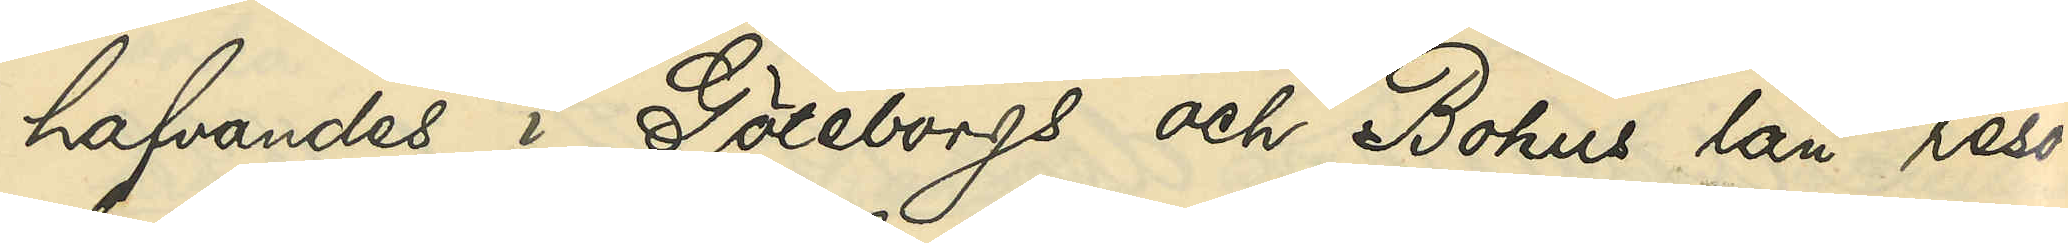hafvandes i Göteborgs och Bohus län reso¬
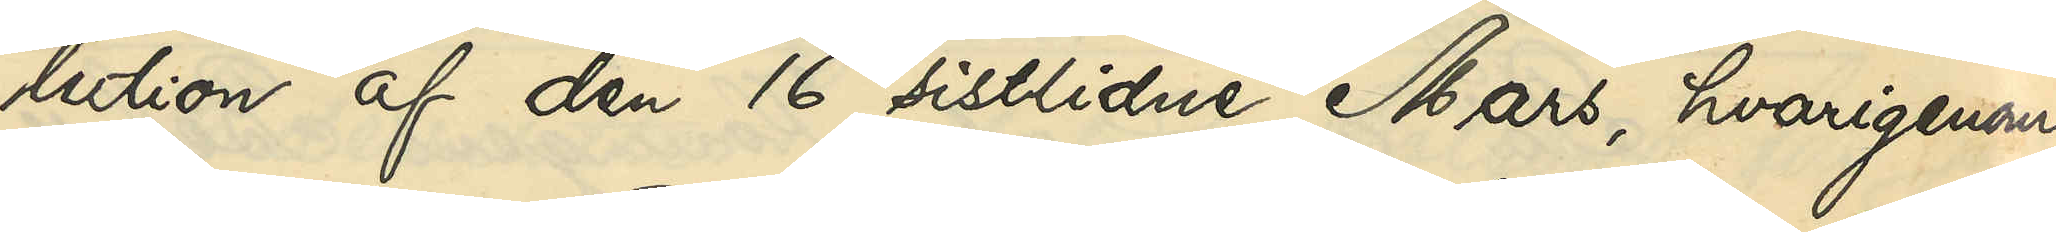lution af den 16 sistlidne Mars, hvarigenom
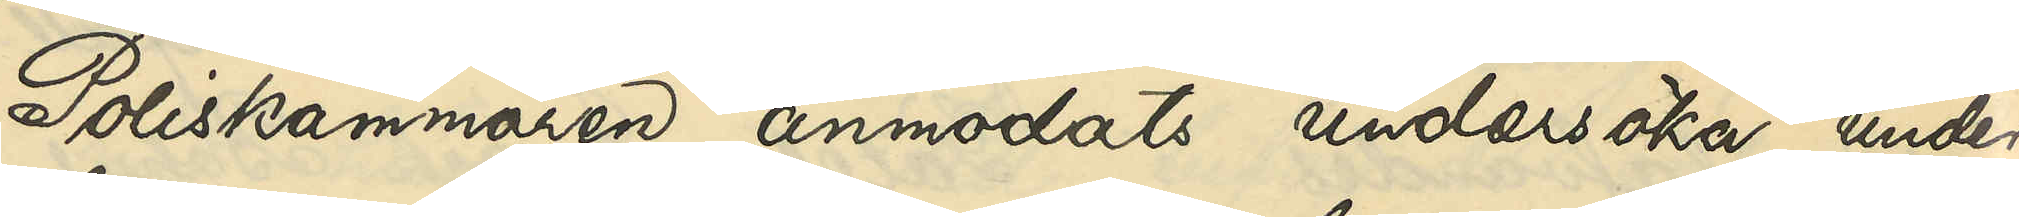Poliskammaren anmodats undersöka, under
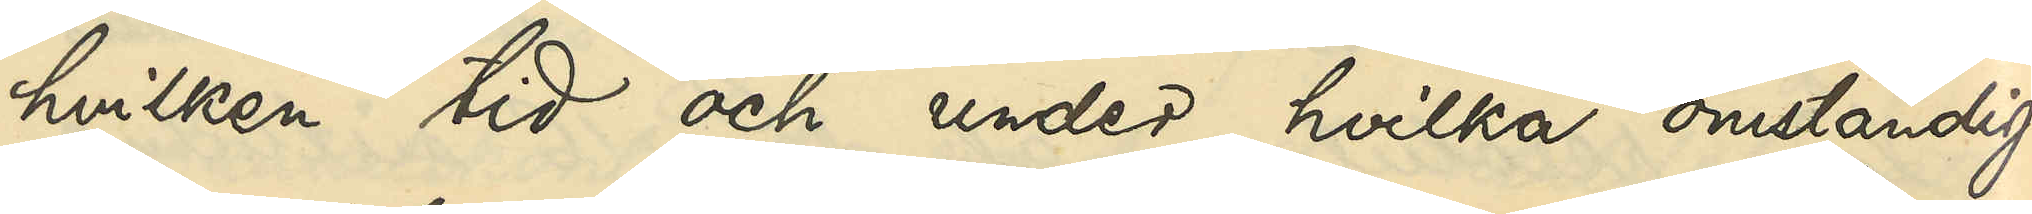hvilken tid och under hvilka omständig¬
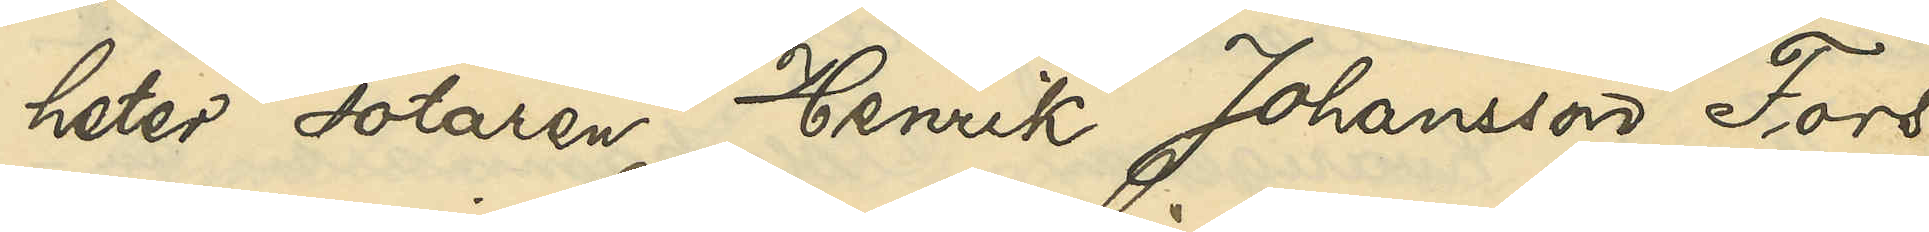heter sotaren Henrik Johansson Fors
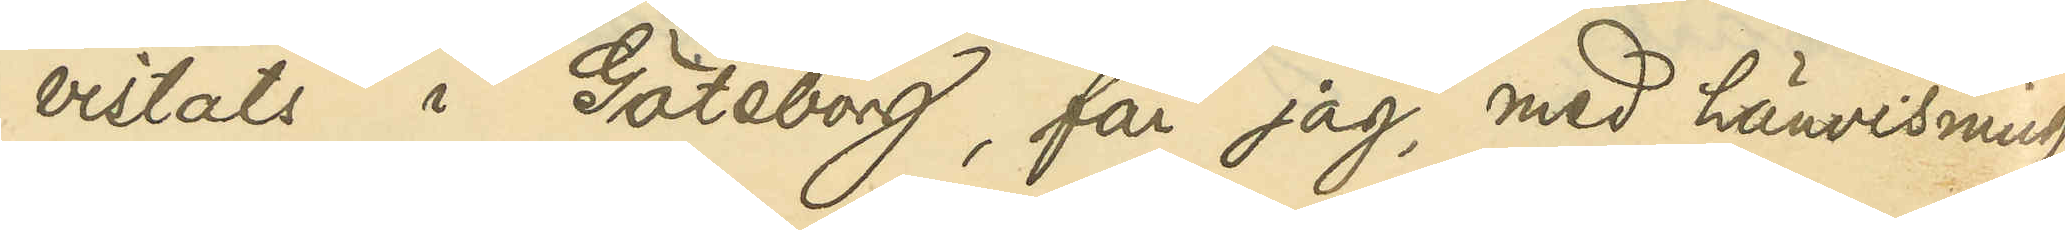vistats i Göteborg, får jag, med hänvisning
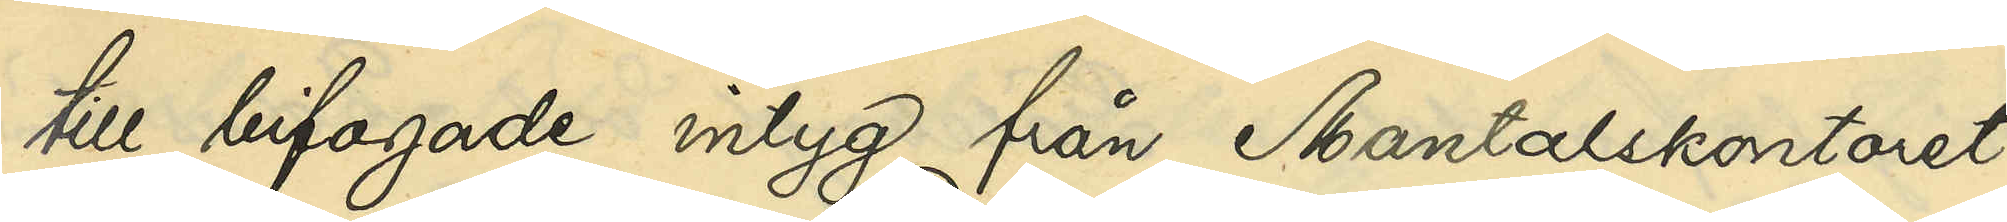till bifogade intyg från Mantallskontoret
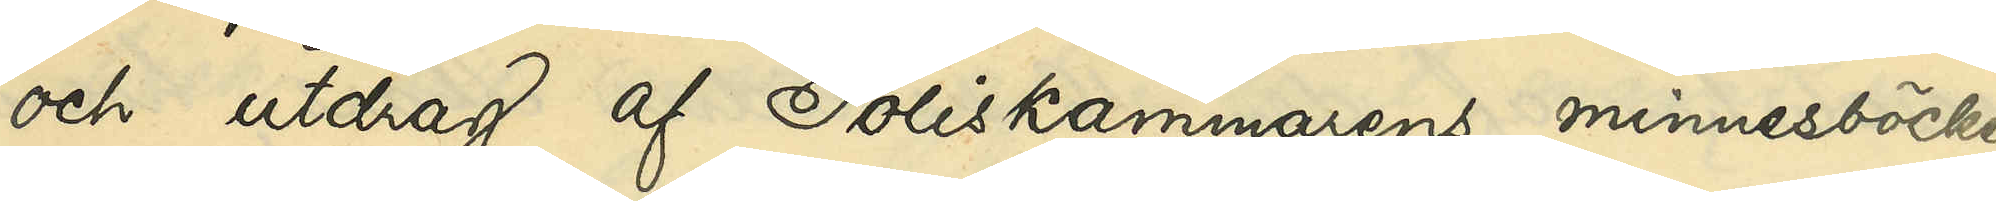och utdrag af Poliskammarens minnesböcker
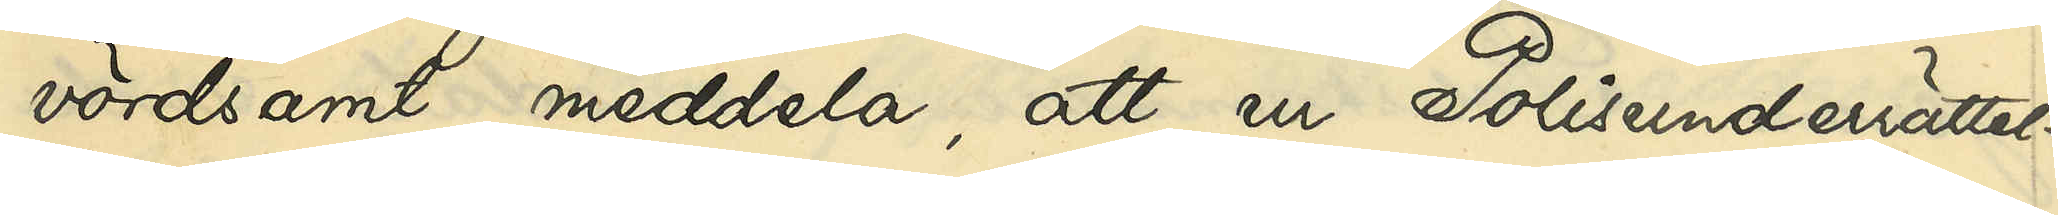vördsamt meddela, att ur Polisunderrättel¬
